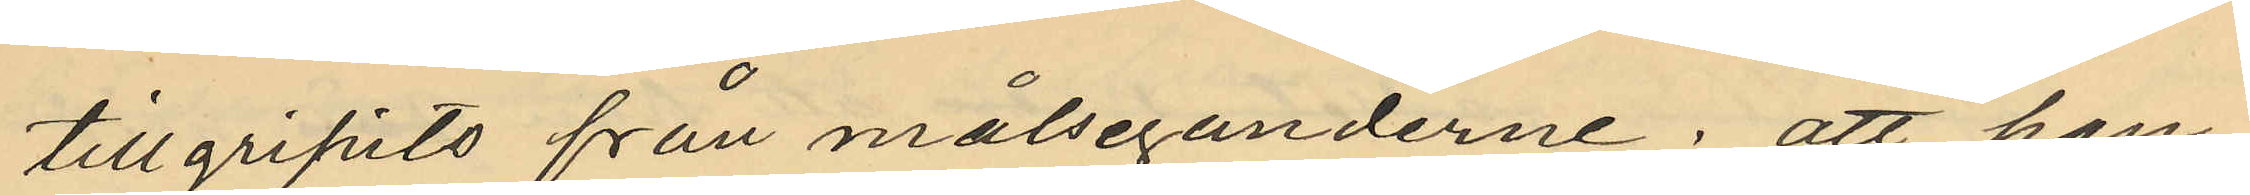tillgripits från målseganderne; att han
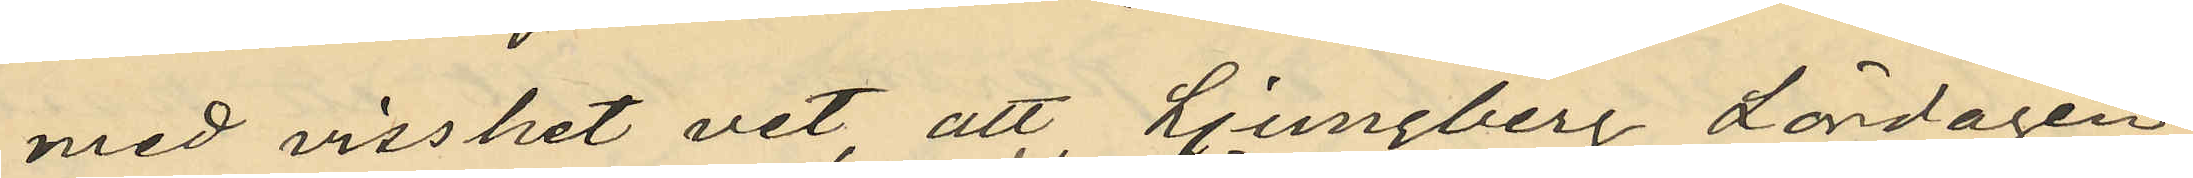med visshet vet, att Ljungberg Lördagen
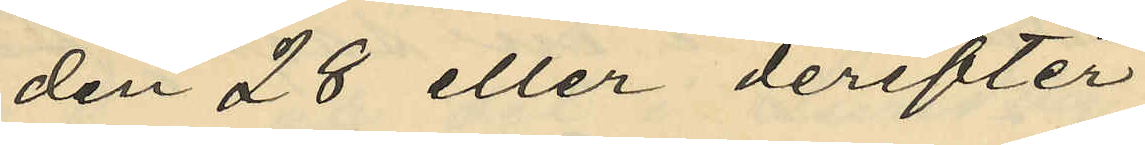den 28 eller derefter
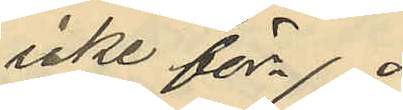icke för¬
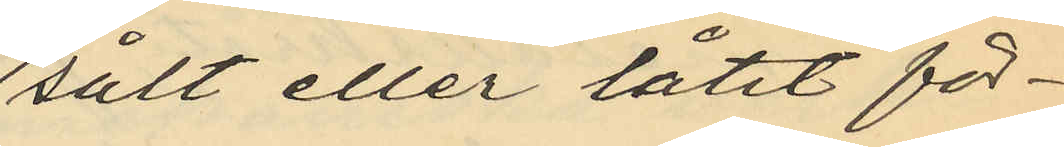sålt eller låtit för¬
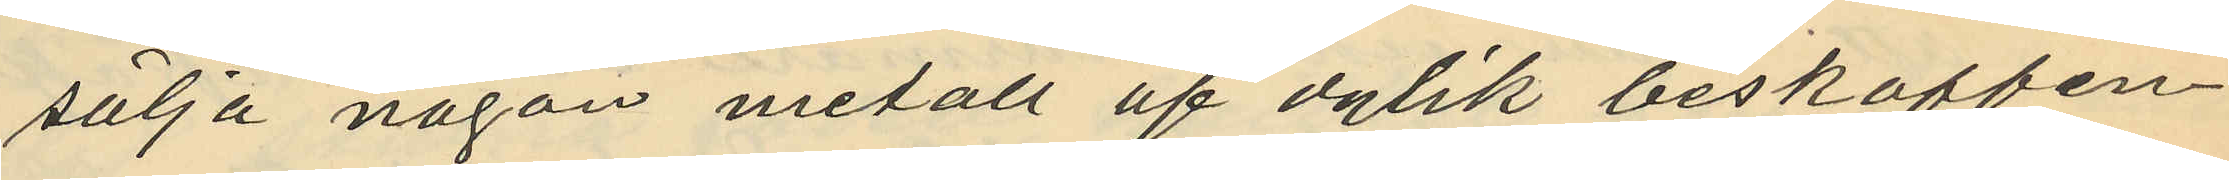sälja någon metall af dylik beskaffen¬
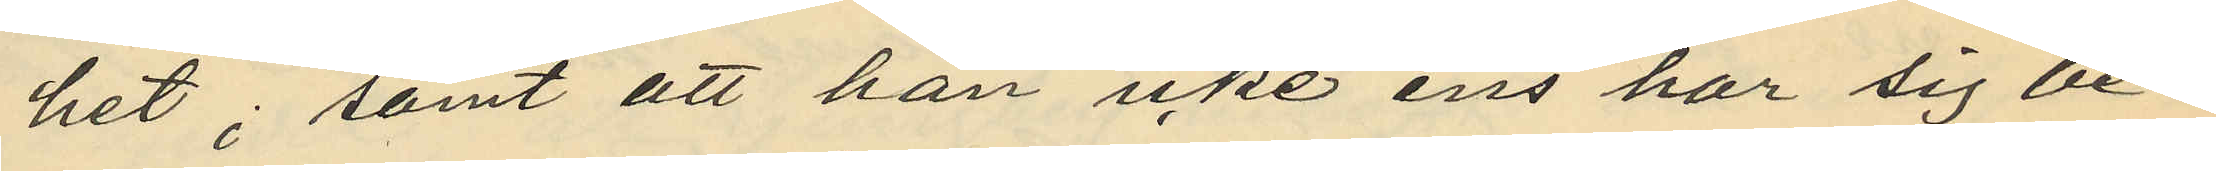het; samt att han icke ens har sig be¬
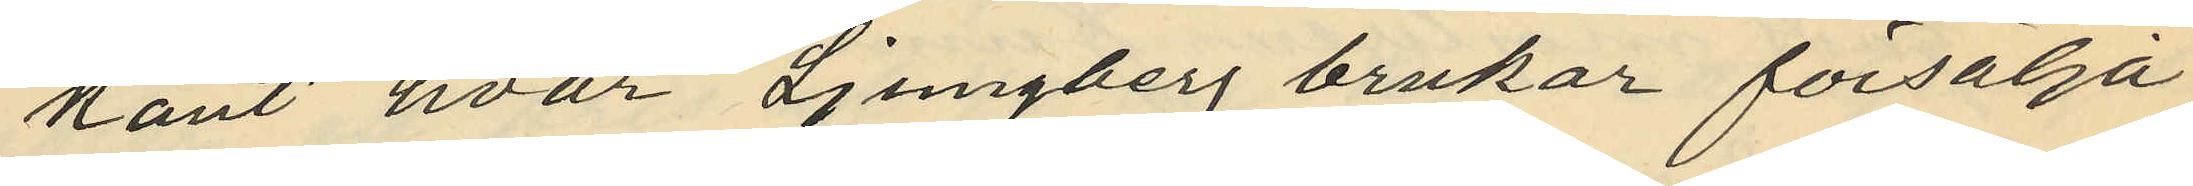kant hvar Ljungberg brukar försälja
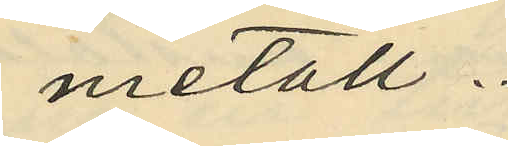metall.
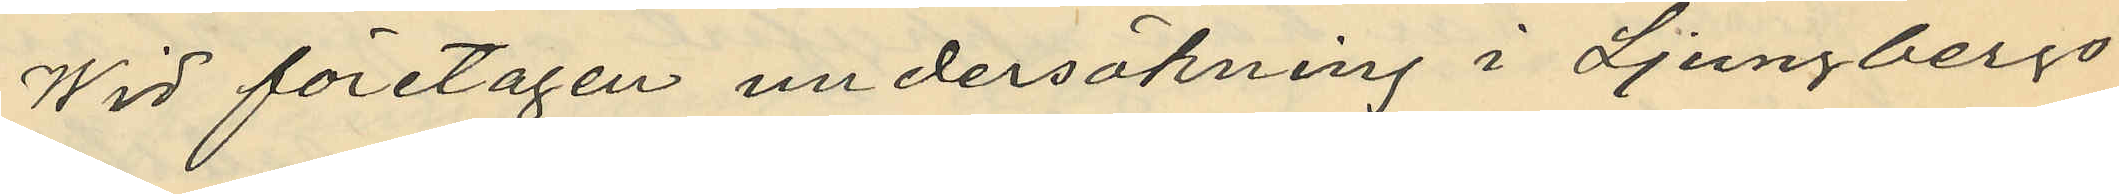Wid företagen undersökning i Ljungbergs
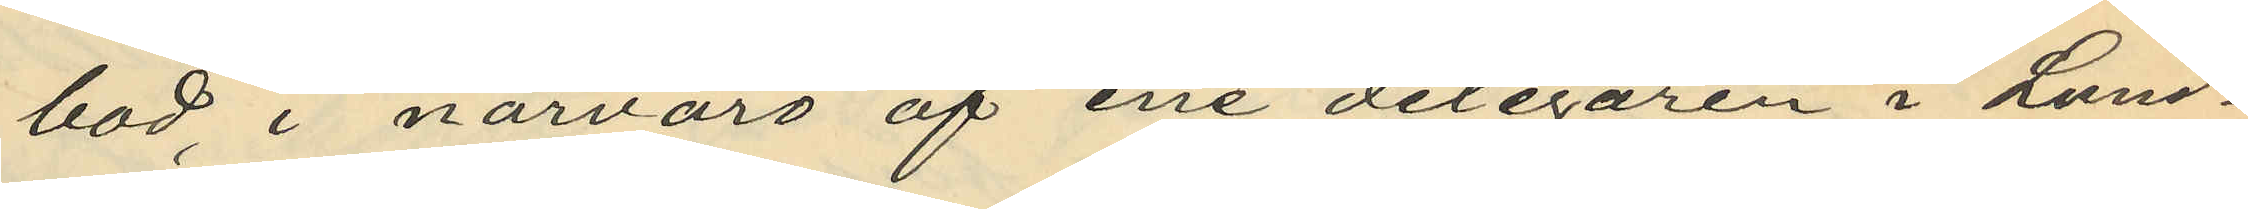bod i närvaro af ene delegaren i Lund¬
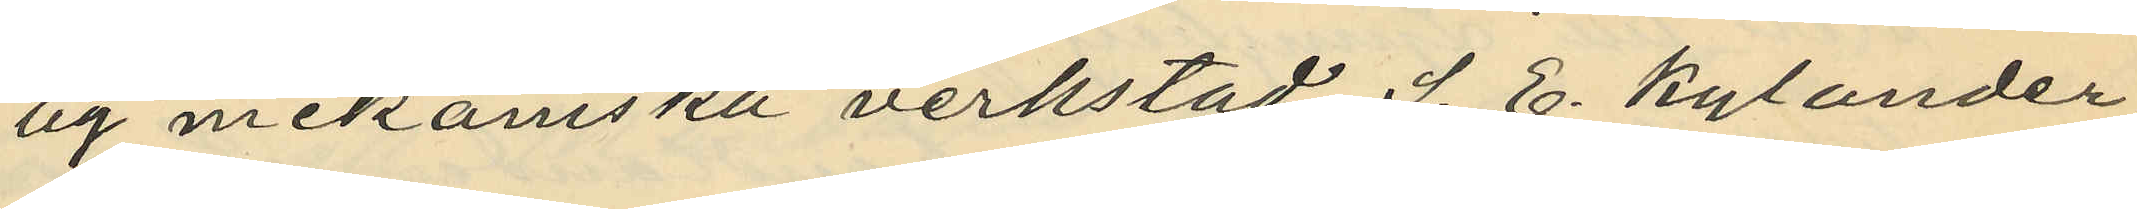by mekaniska verkstad S. E. Kylander
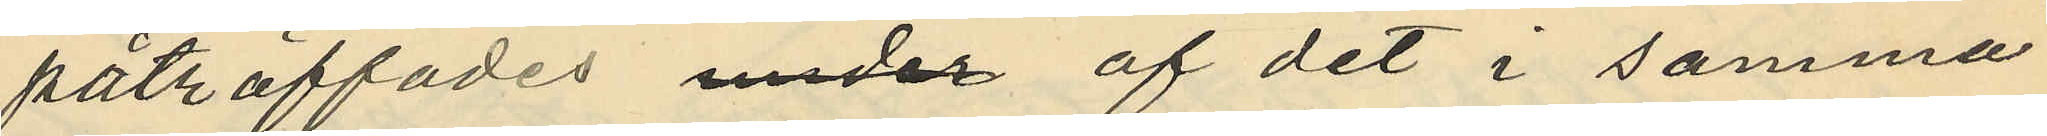påträffades under af det i samma
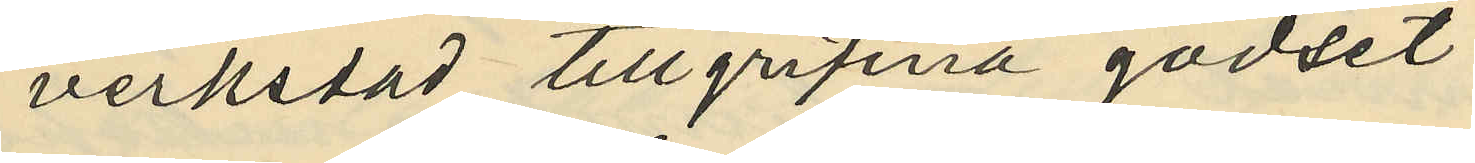verkstad tillgripna godset
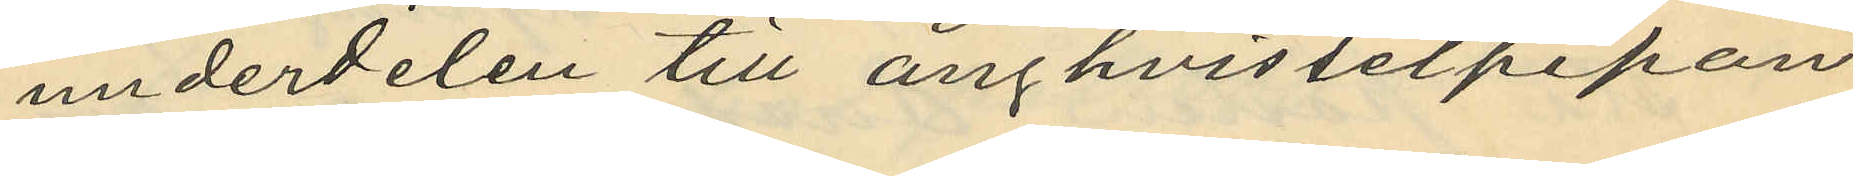underdelen till ånghvisselpipan
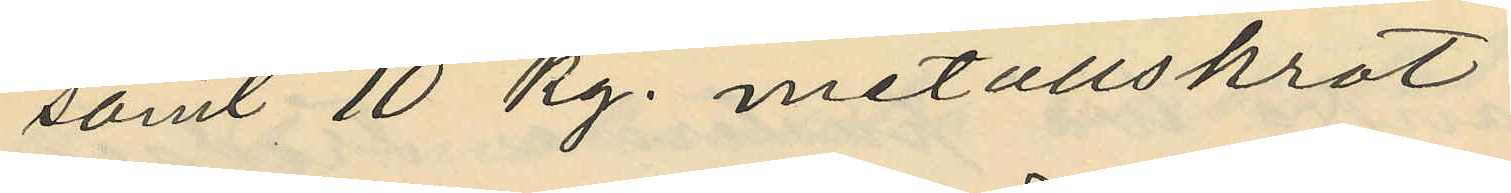samt 10 kg. metallskrot
